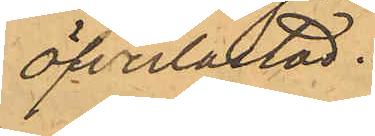öfverlastad.
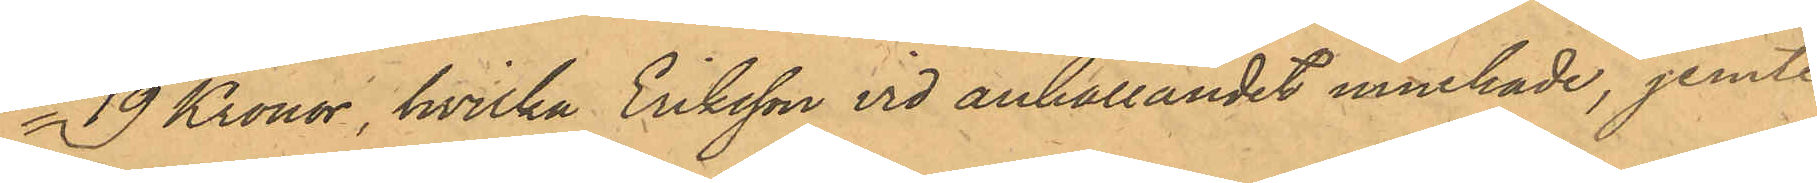19 Kronor, hvilka Eriksson vid anhållandet innehade, jemte
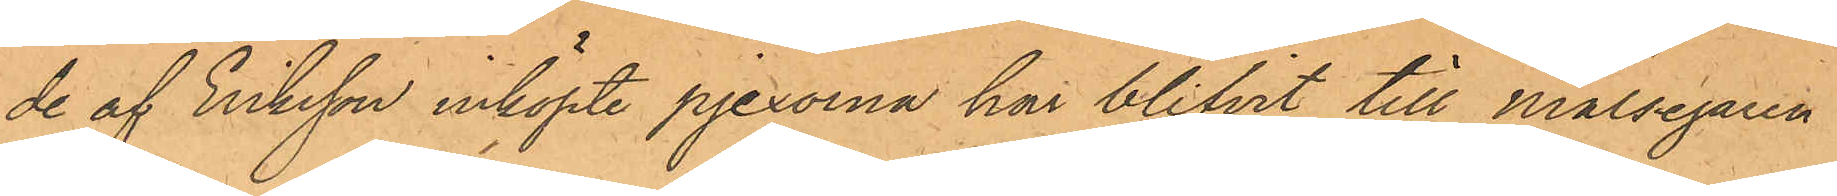de af Eriksson inköpte pjexorna har blifvit till Målsegaren
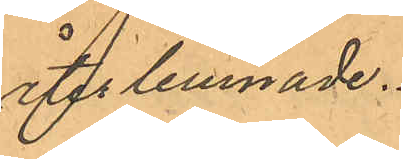återlemnade.
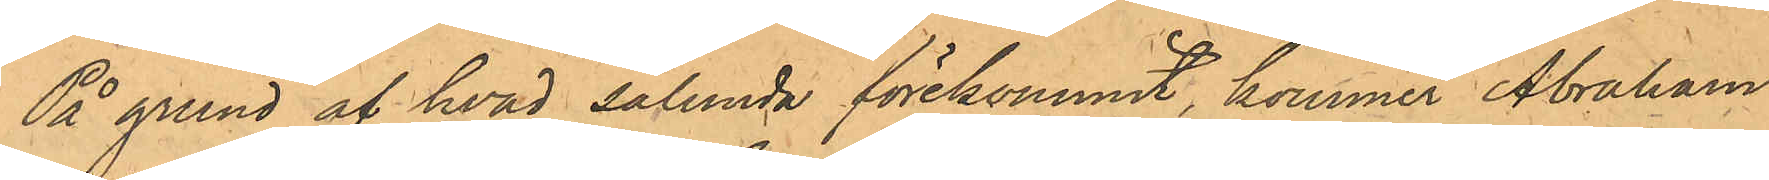På grund af hvad sålunda förekommit, kommer Abraham
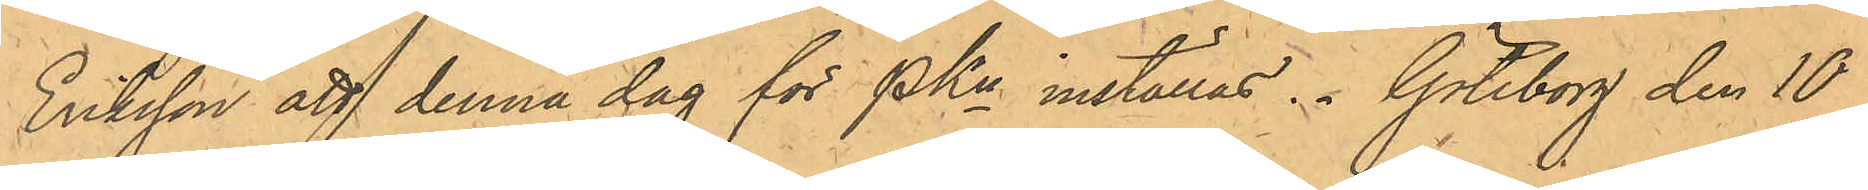Eriksson att denna dag för PKn inställas. Göteborg den 10
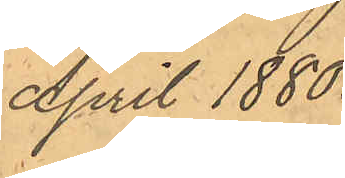April 1880.
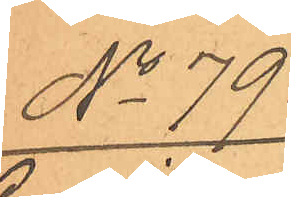No 79.
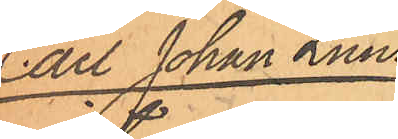Carl Johan Lund¬
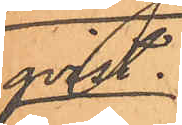qvist.
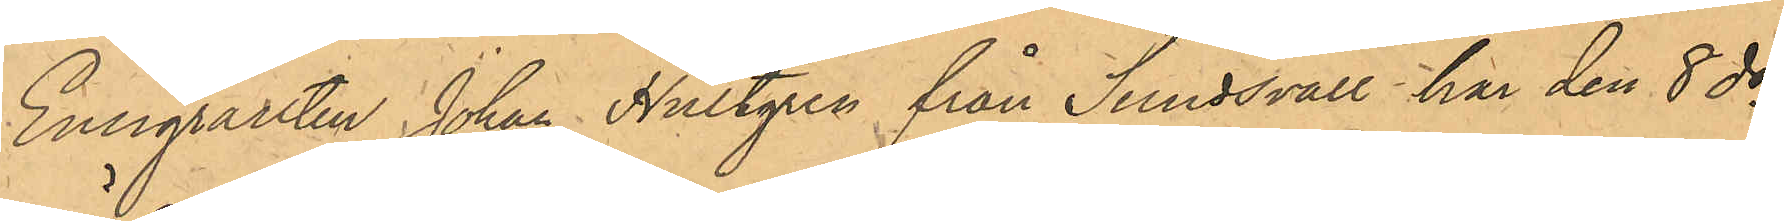Emigranten Johan Hultgren från Sundsvall har den 8 ds
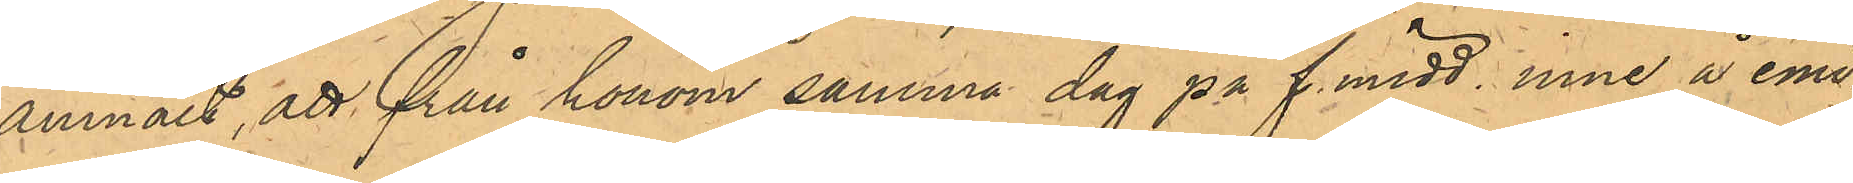anmält, att från honom samma dag på f. midd. inne å emi¬
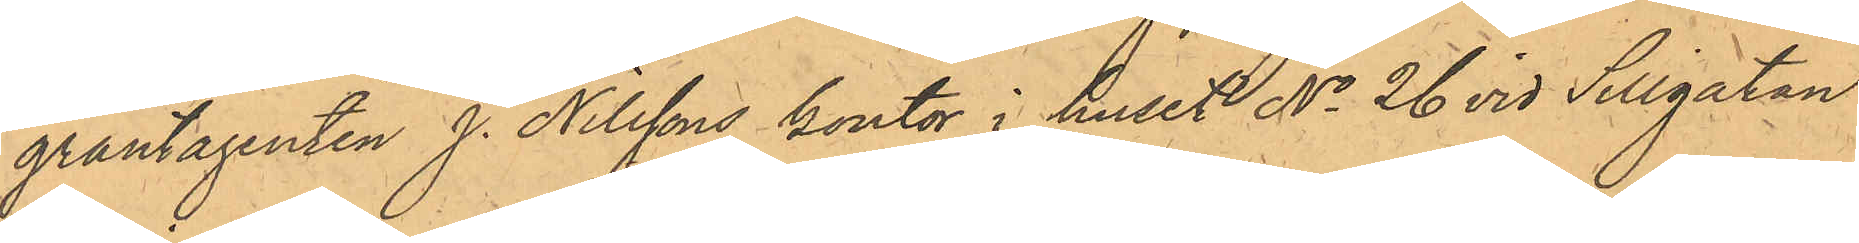grantagenten J. Nilssons kontor i huset No 26 vid Sillgatan
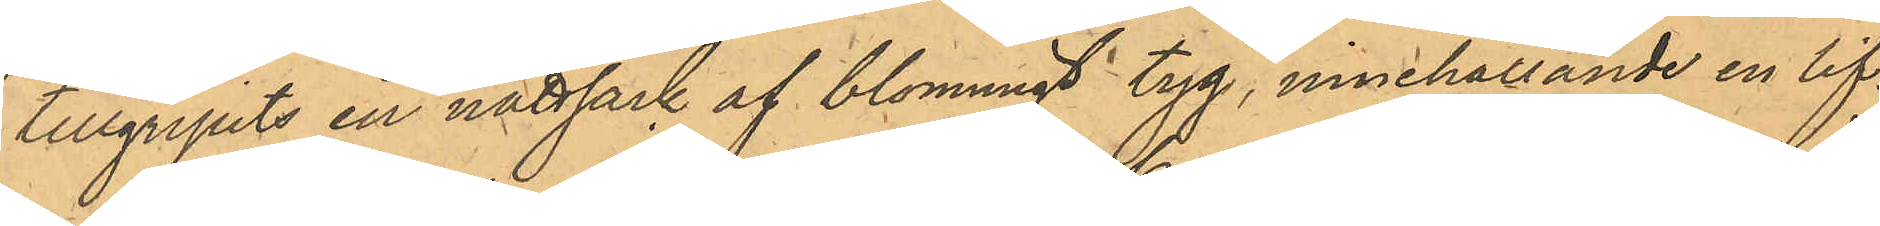tillgripits en nattsäck af blommigt tyg, innehållande en lif¬
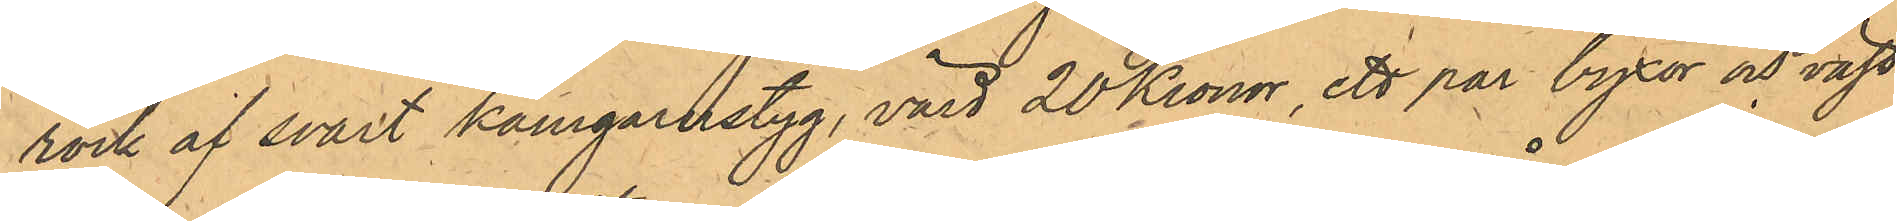rock af svart Kamgarnstyg, värd 20 Kronor, ett par byxor och väst
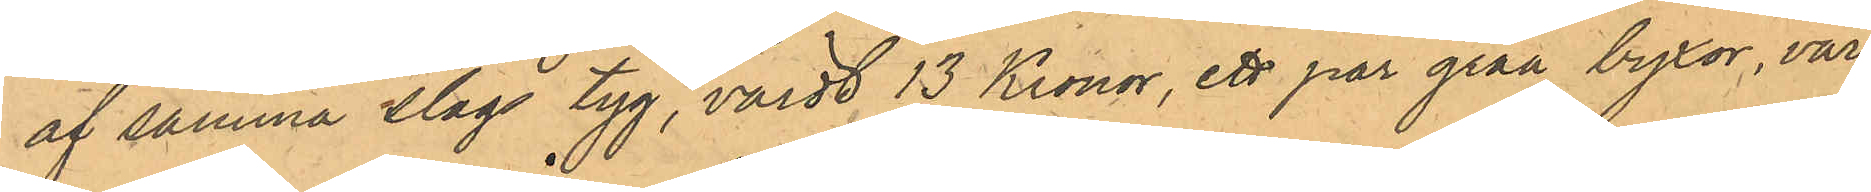af samma slags tyg, värdt 13 Kronor, ett par gråa byxor, vär¬
